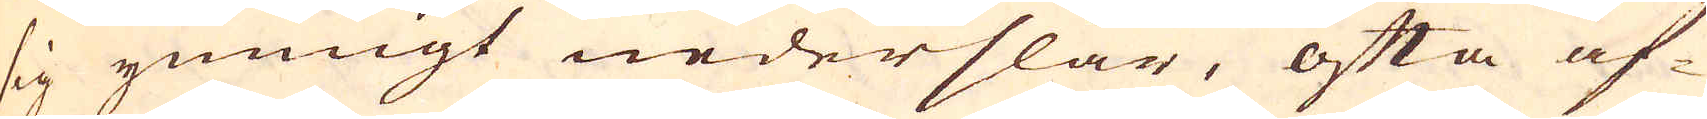sig ymnigt nederslår, ofta af-
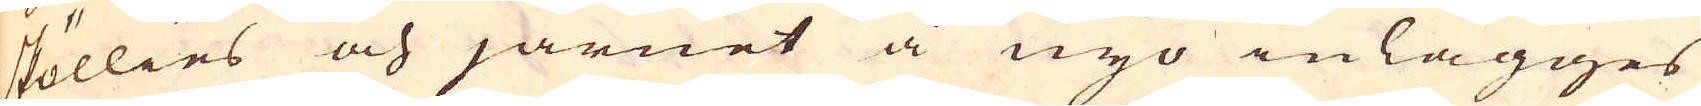sköllies och järnet å nyo inlägges
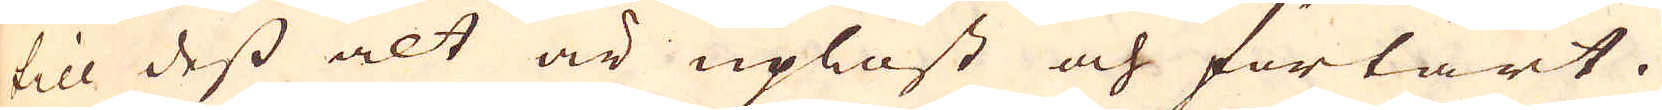till dess alt är uplöst och förtärt.
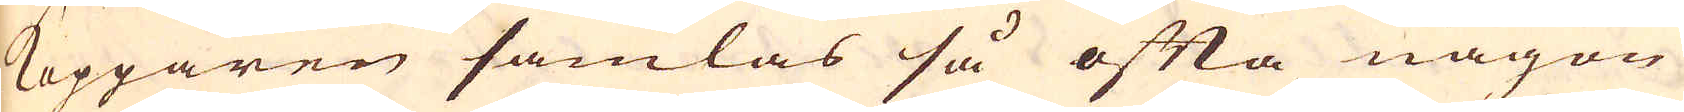Kopparen samlas så ofta någon
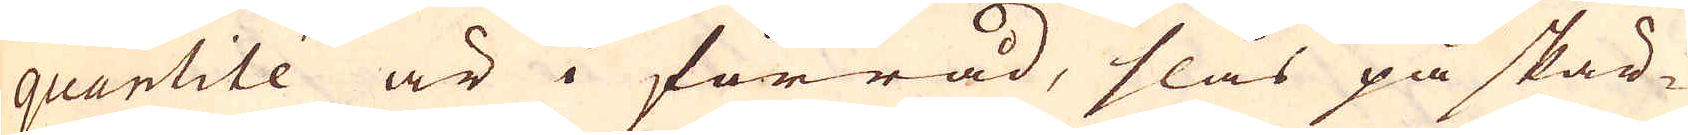quantité är i förråd, slås på skär-
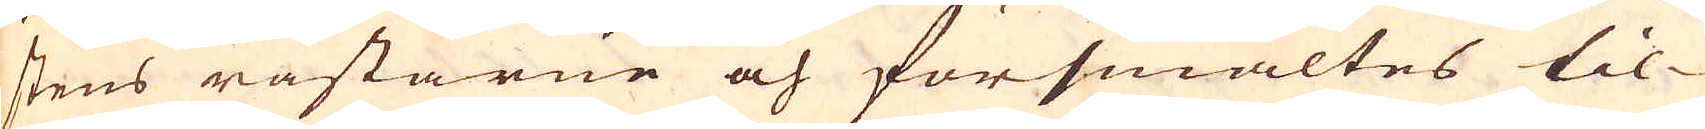stens råstarne och försmältes til-
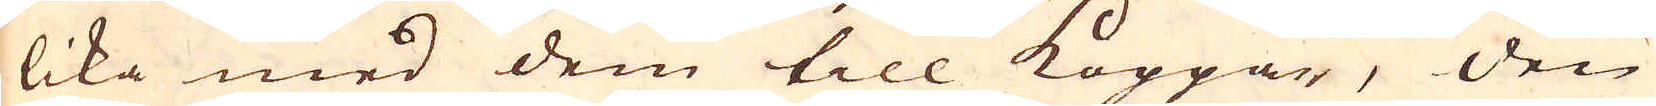lika med dem till Koppar, den
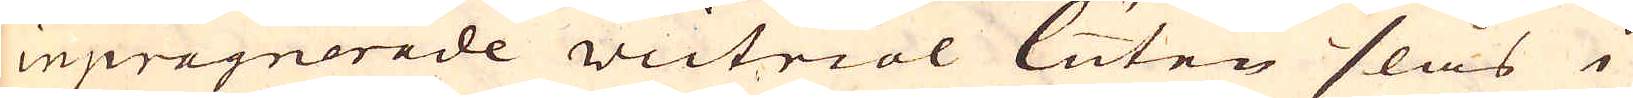inpregnerede victriol luten slås i
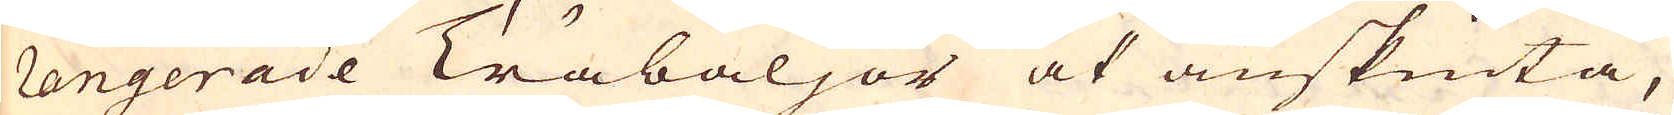rengerade Träbaljor at anskiuta,
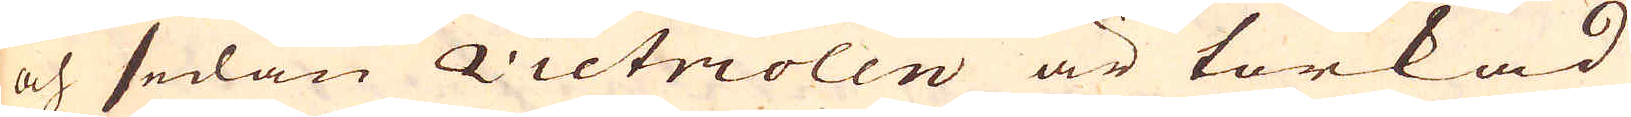och sedan victriolen är torkad
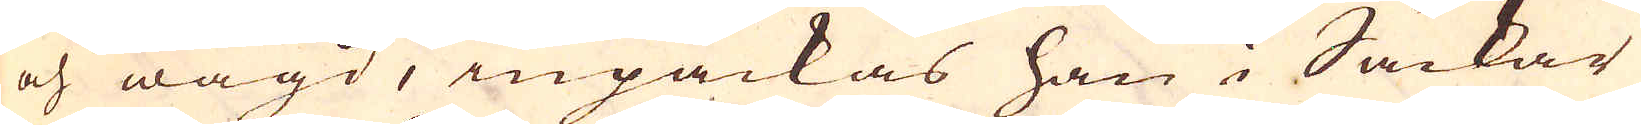och wägd, inpackas han i Säckar
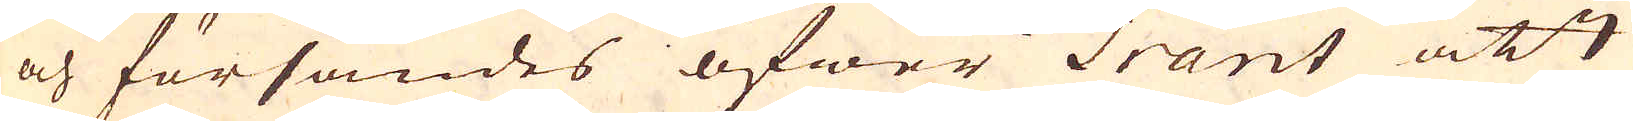och försändes öfwer Tränt att
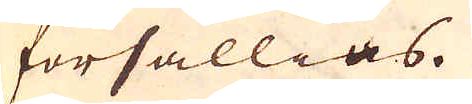försällias.
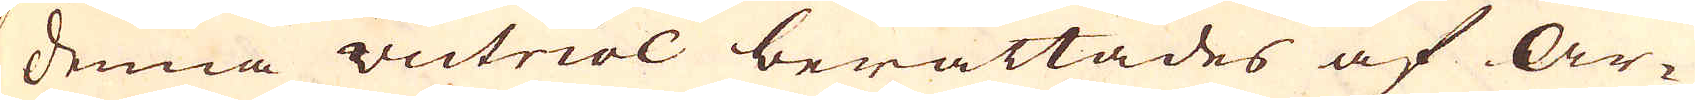Denna victriol berättades af ar-
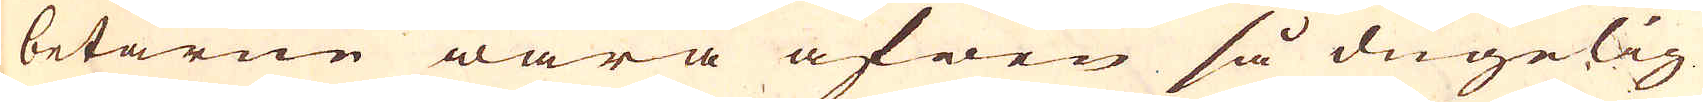betarne wara äfwen så dugelig
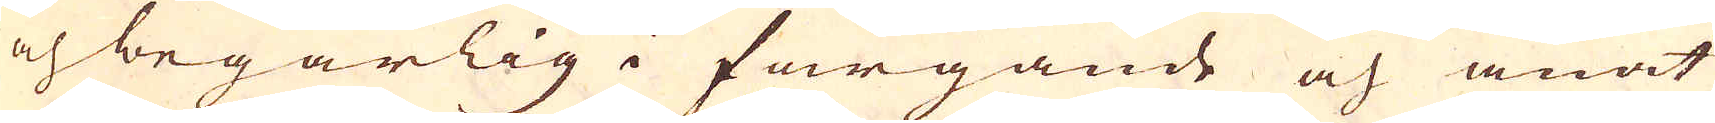och begärlig i färgande och anat
